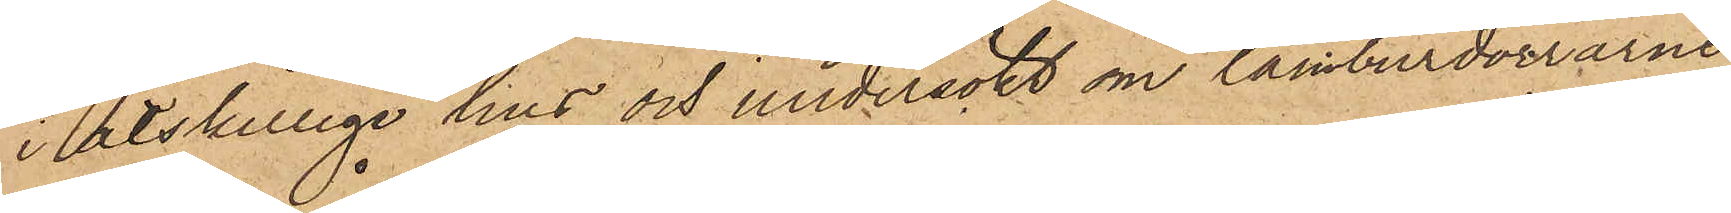i åtskillige hus och undersökt om tamburdörrarne
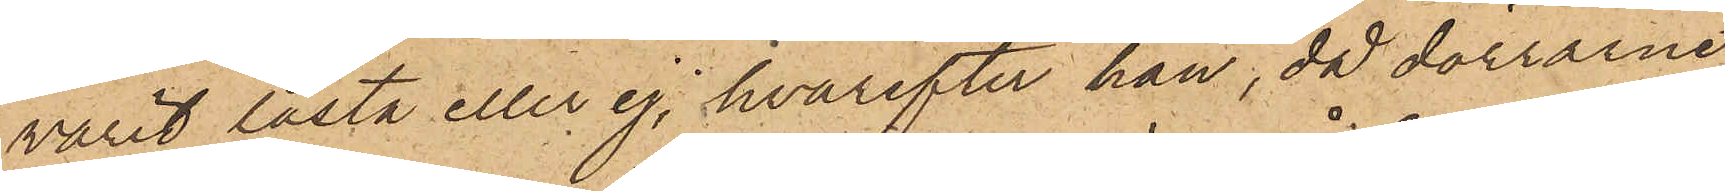varit låsta eller ej, hvarefter han, då dörrarne
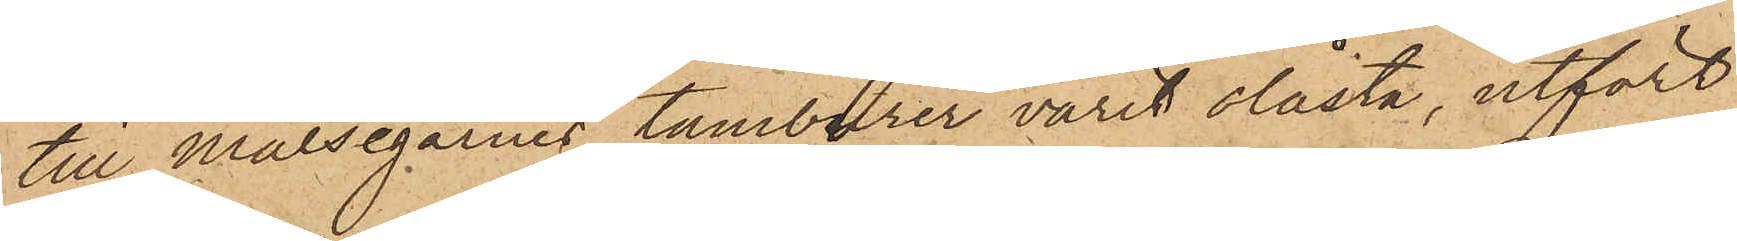till Målsegarnes tamburer varit olåsta, utfört
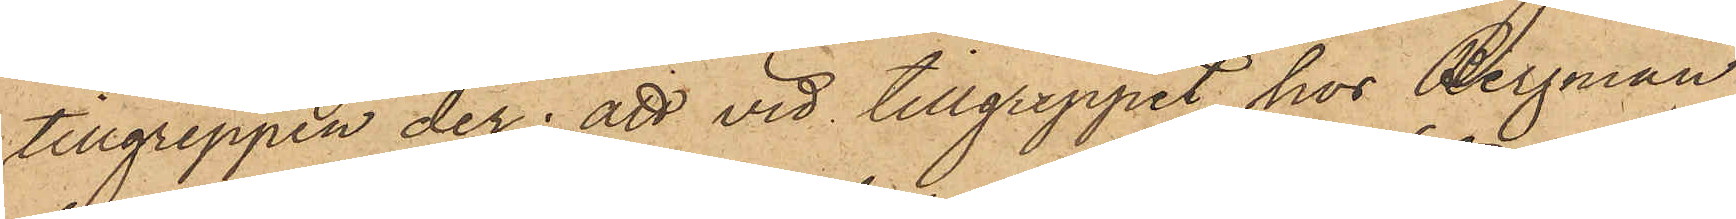tillgreppen der; att vid tillgreppet hos Bergman,
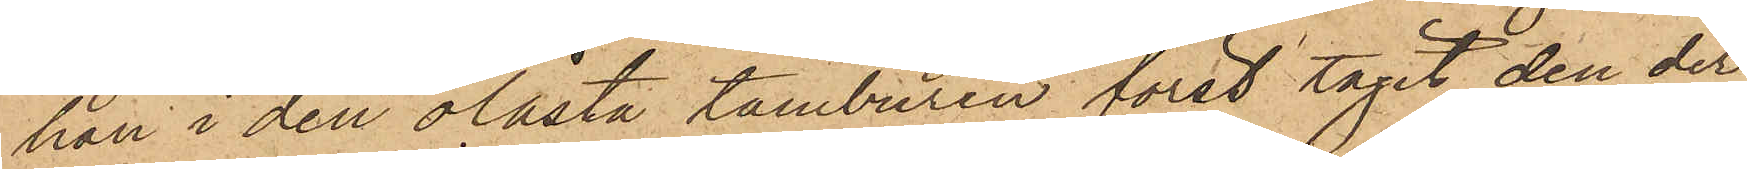han i den olåsta tamburen först tagit den der
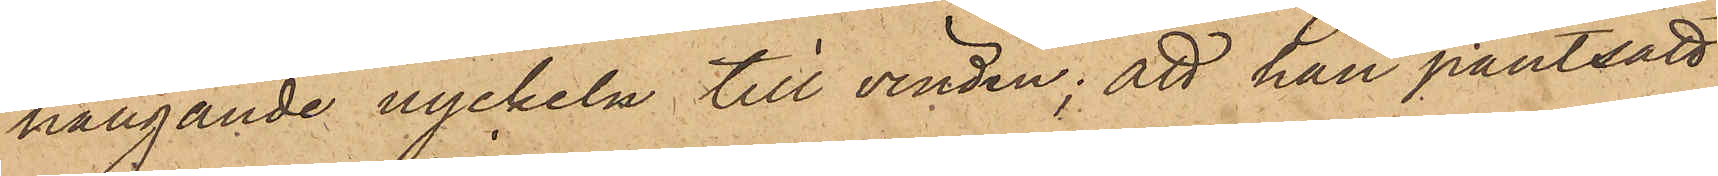hängande nyckeln till vinden; att han pantsatt
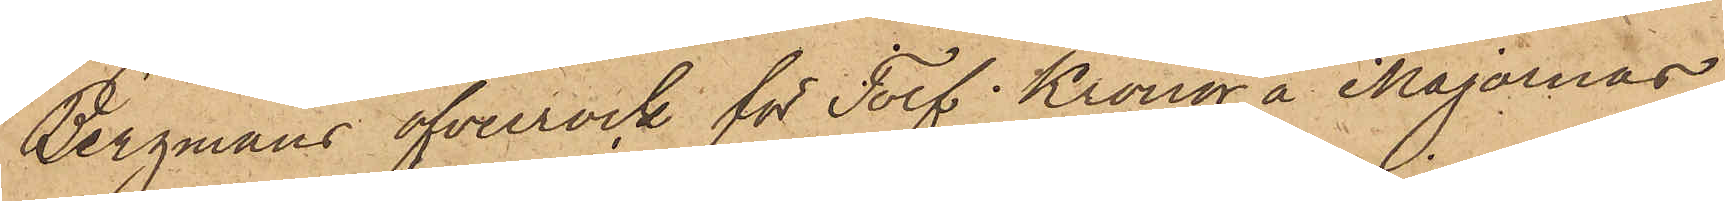Bergmans öfverrock för Tolf Kronor å Majornas
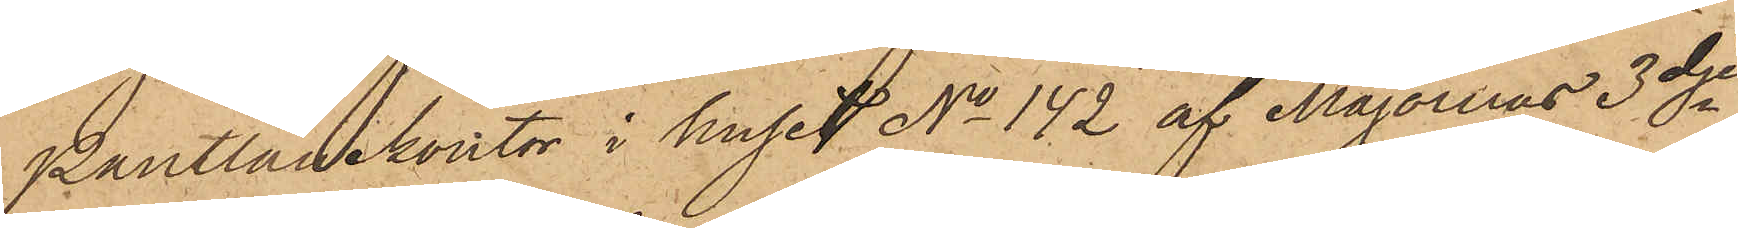Pantlånekontor i huset No 142 af Majornas 3dje
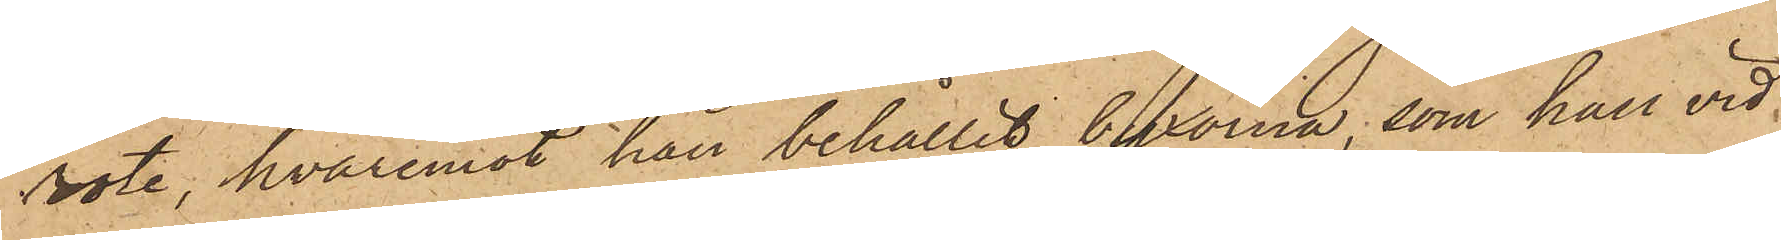rote, hvaremot han behållit byxorna, som han vid
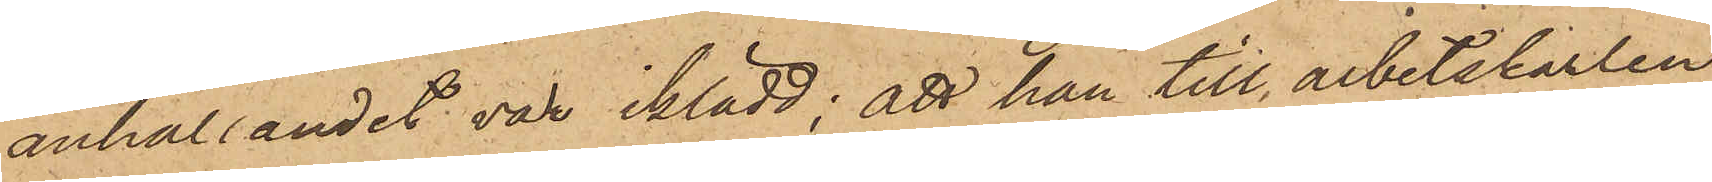anhållandet var iklädd; att han till arbetskarlen
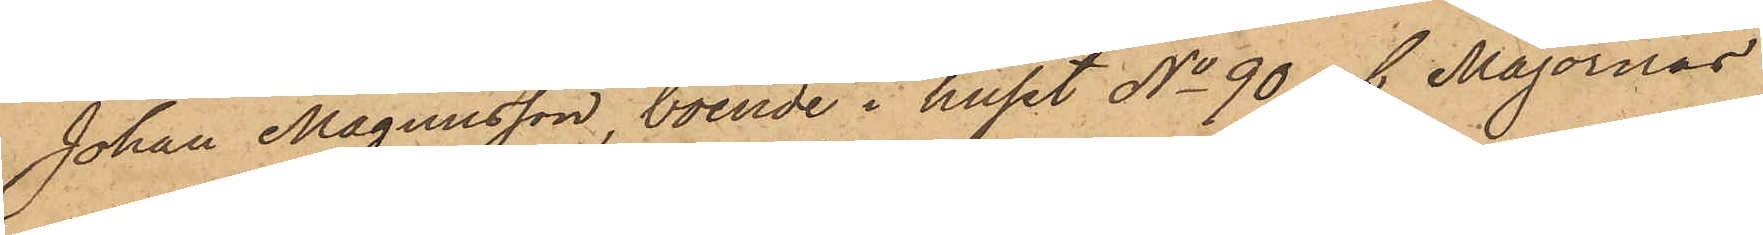Johan Magnusson, boende i huset No 90 1 Majornas
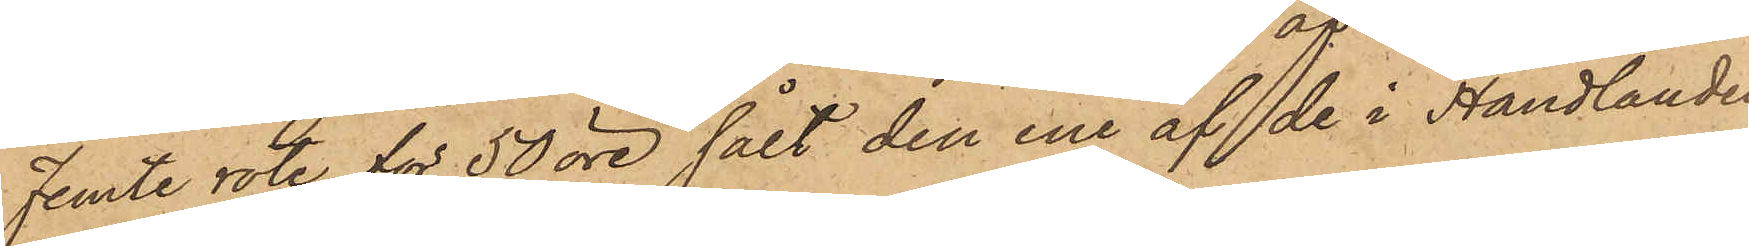Femte rote för 50 öre sålt den ene af de i Handlanden
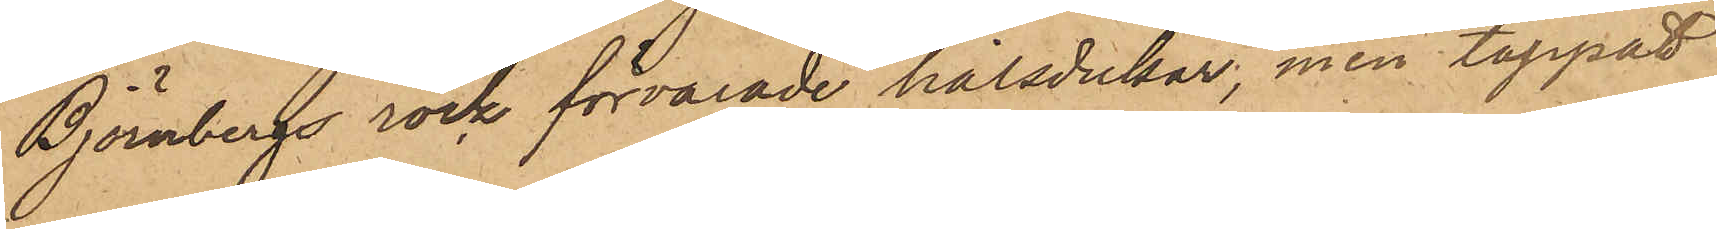Björnbergs rock förvarade halsdukar, men tappat
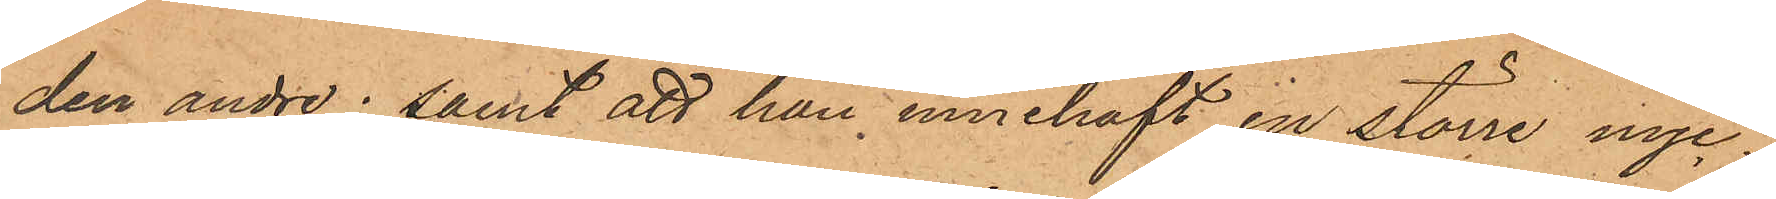den andre; samt att han innehaft en större nyc¬
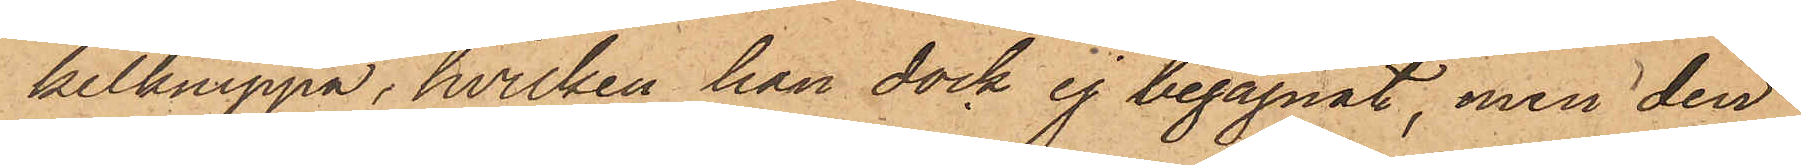kelknippa, hvilken han dock ej begagnat, men den
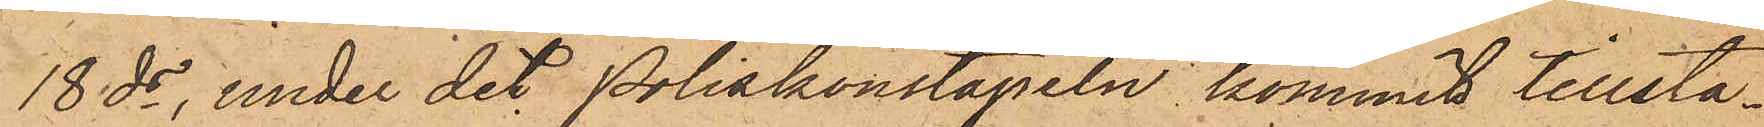18 ds, under det Poliskonstapeln kommit tillstä¬
